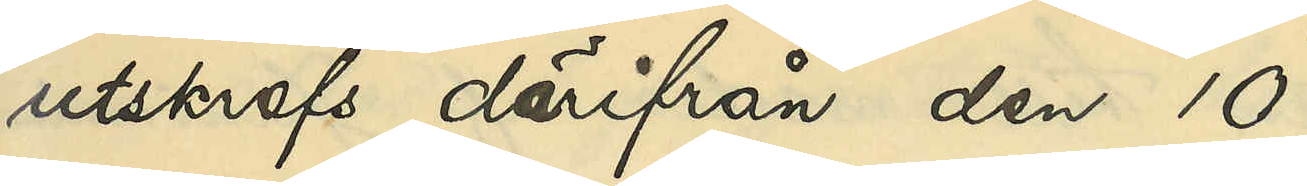utskrefs därifrån den 10
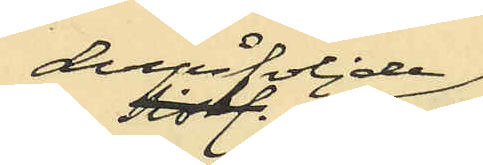derpåföljande
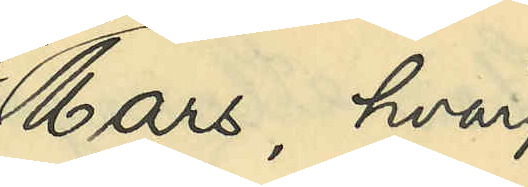Mars, hvar¬
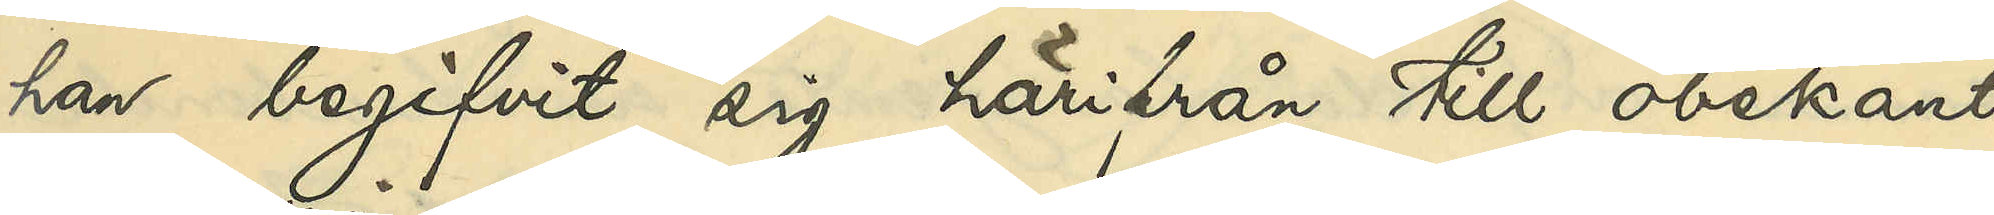han begifvit sig härifrån till obekant
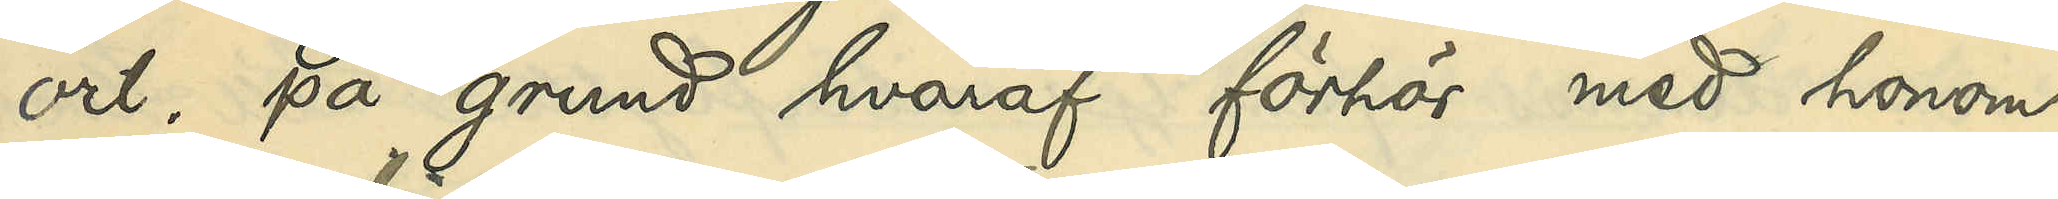ort, på grund hvaraf förhör med honom
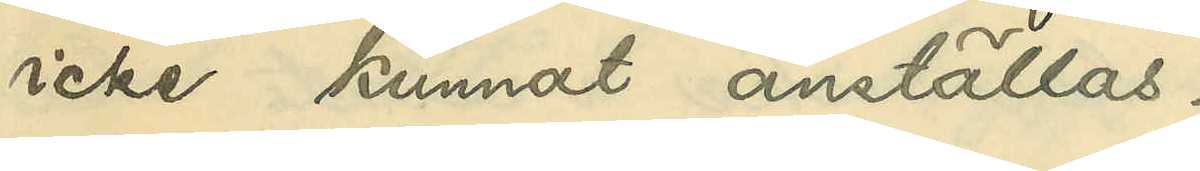icke kunnat anställas.
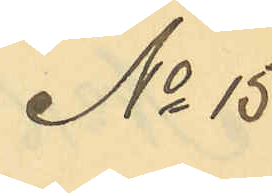No 15
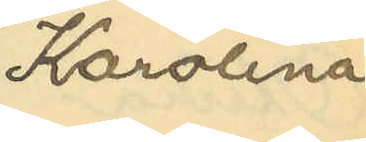Karolina
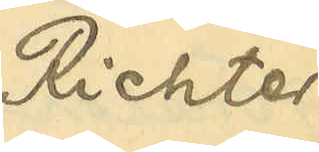Richter
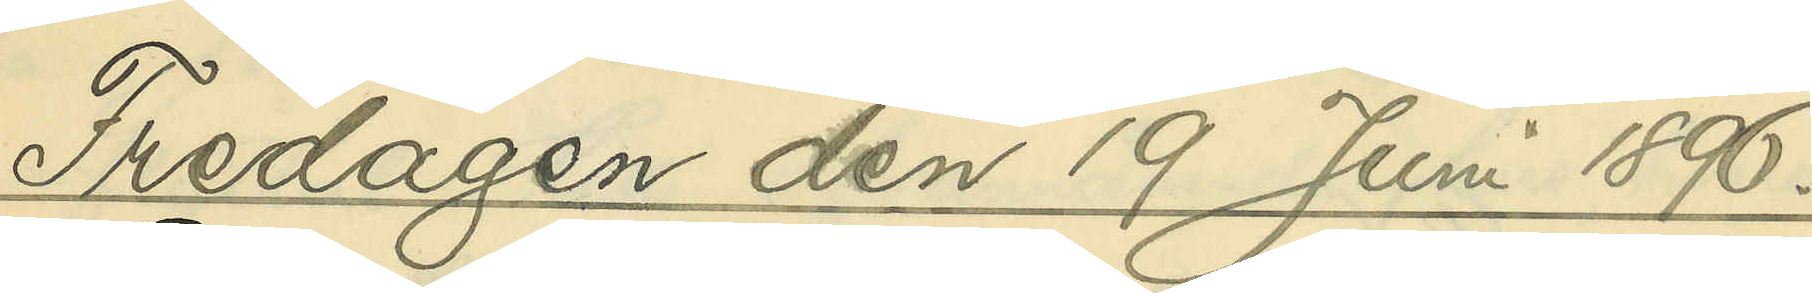Fredagen den 19 Juni 1896.
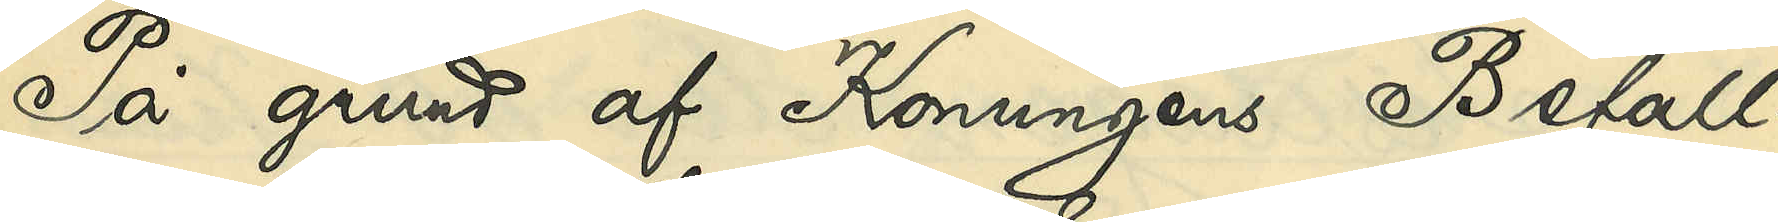På grund af Konungens Befall¬
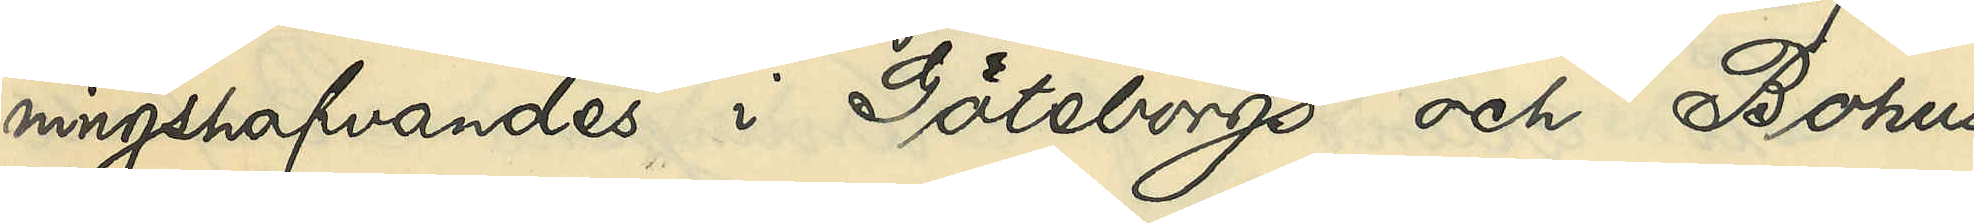ningshafvandes i Göteborgs och Bohus
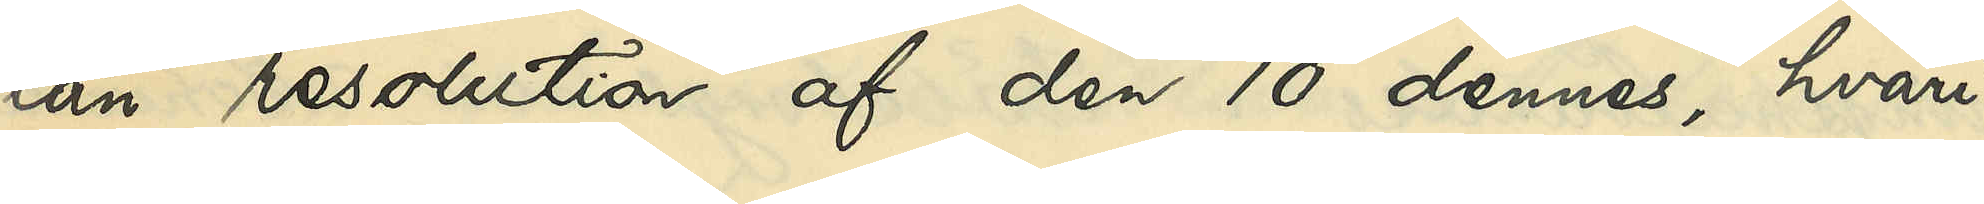län resolution af den 10 dennes, hvari¬
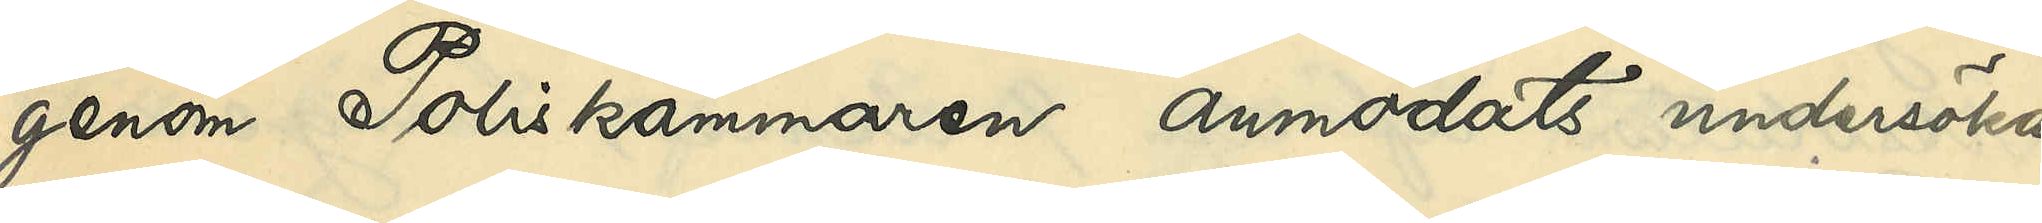genom Poliskammaren anmodats undersöka,
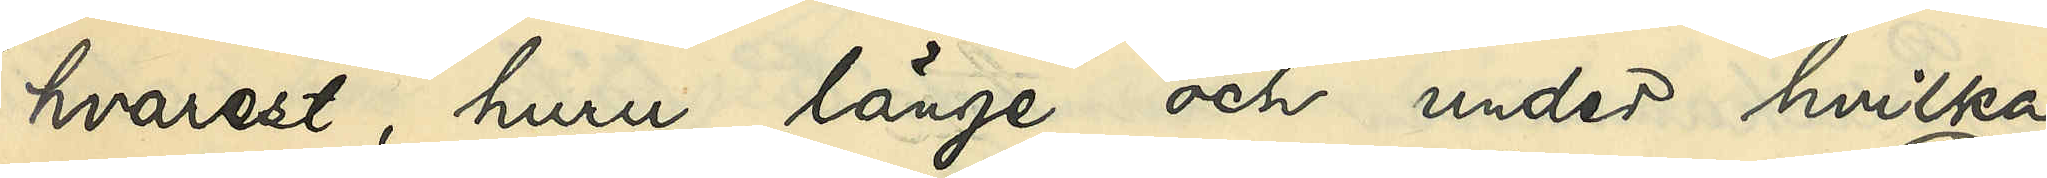hvarest, huru länge och under hvilka
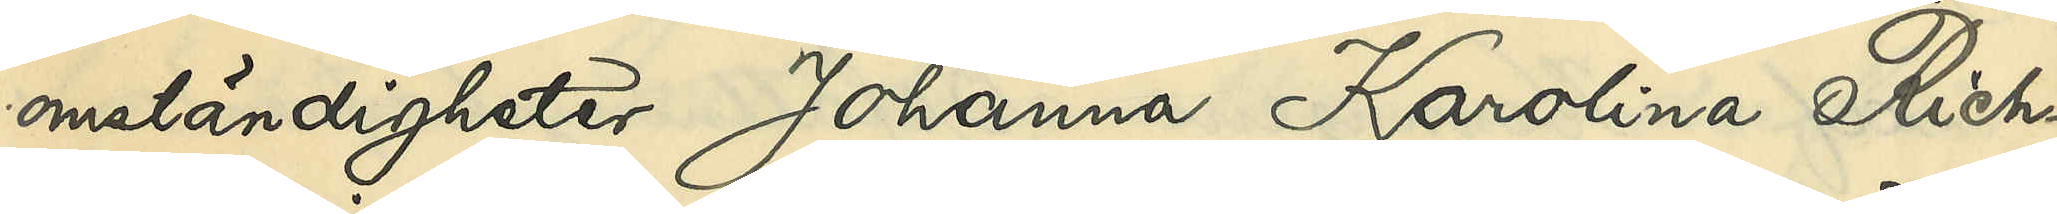omständigheter Johanna Karolina Rich¬
